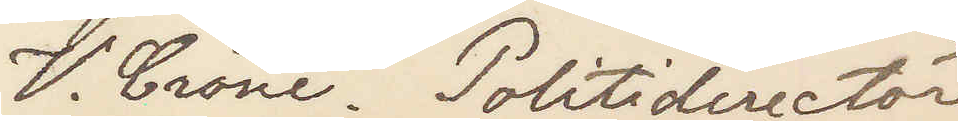V. Crone. Politidirectör
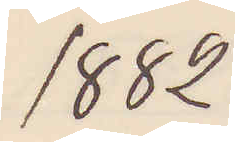1882
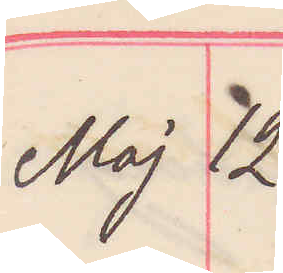Maj 12
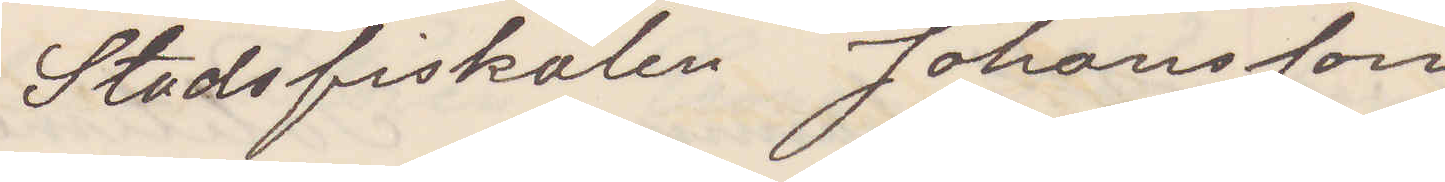Stadsfiskalen Johansson
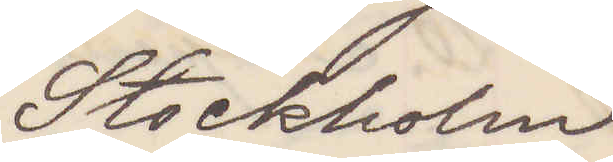Stockholm
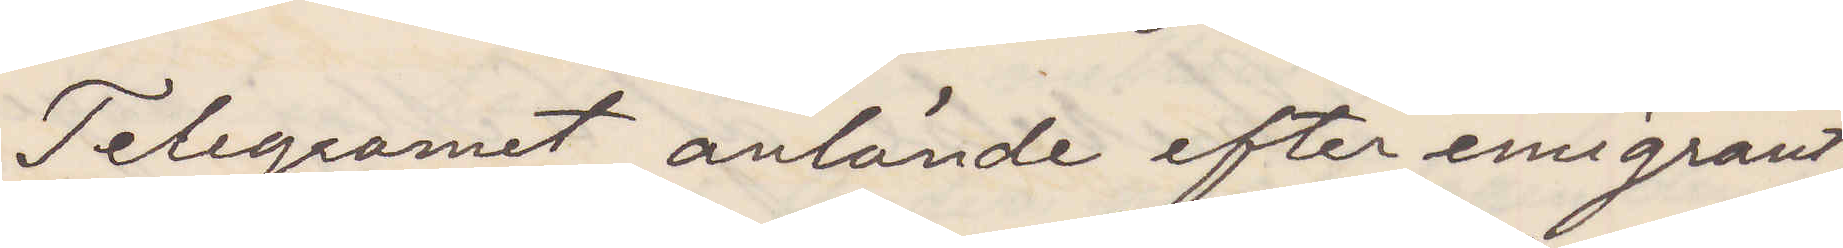Telegramet anlände efter emigrant¬
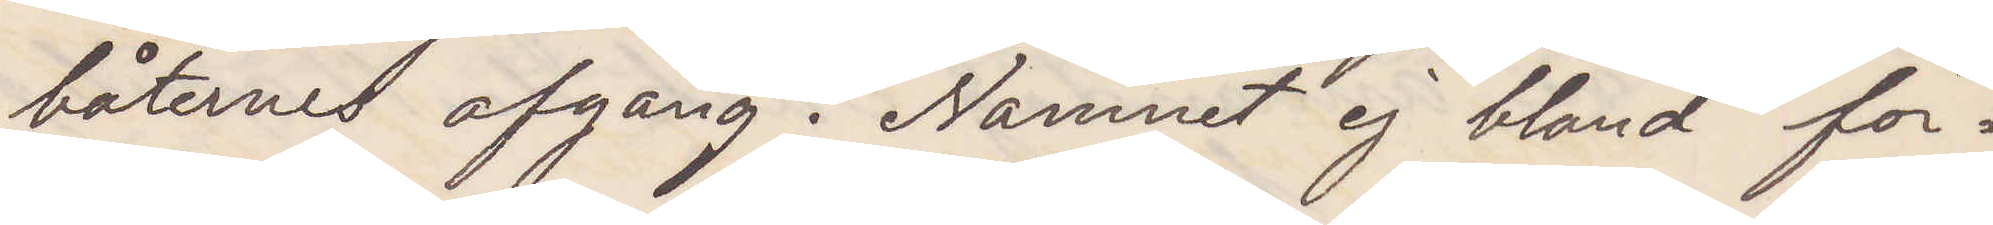båternes afgång. Namnet ej bland för¬
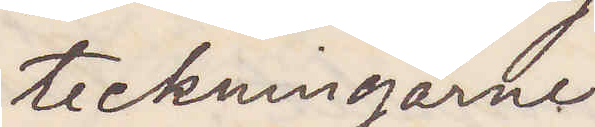teckningarne
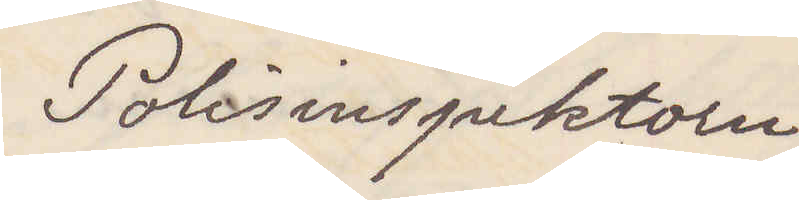Polisinspektorn
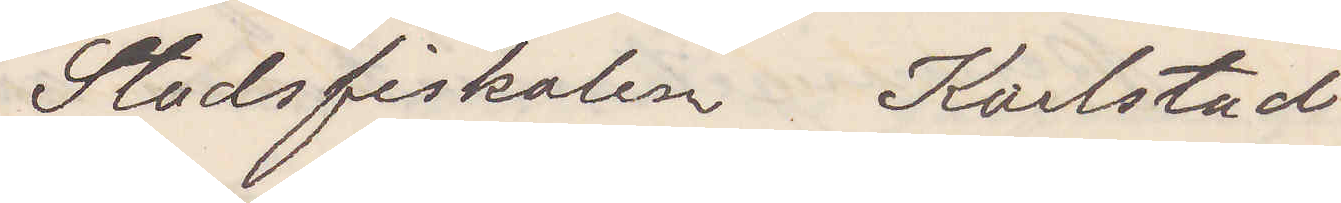Stadsfiskalen Karlstad
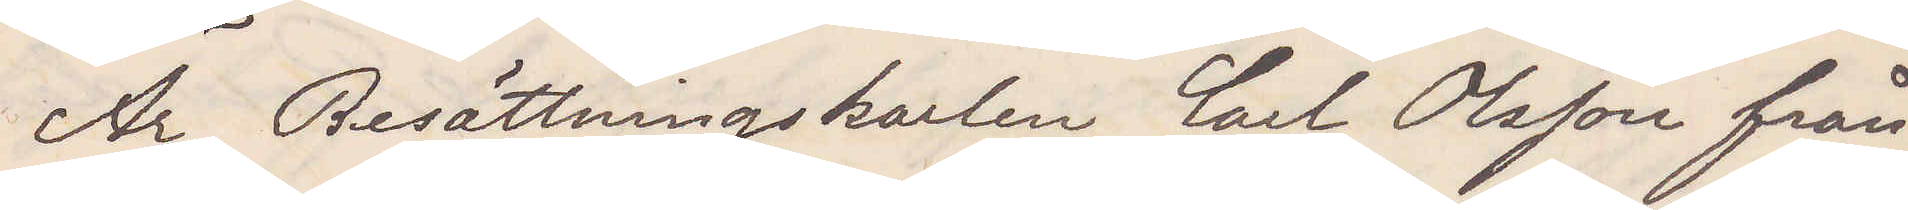Är besättningskarlen Carl Olsson från
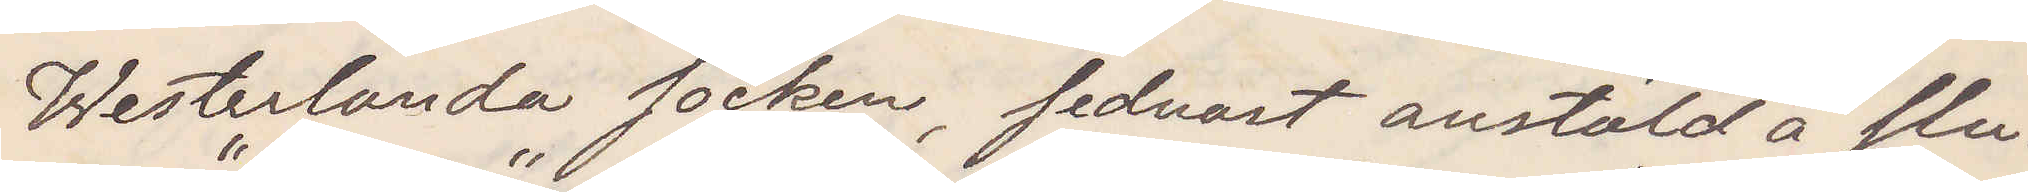Westerlanda socken, sednast anstäld å slu¬
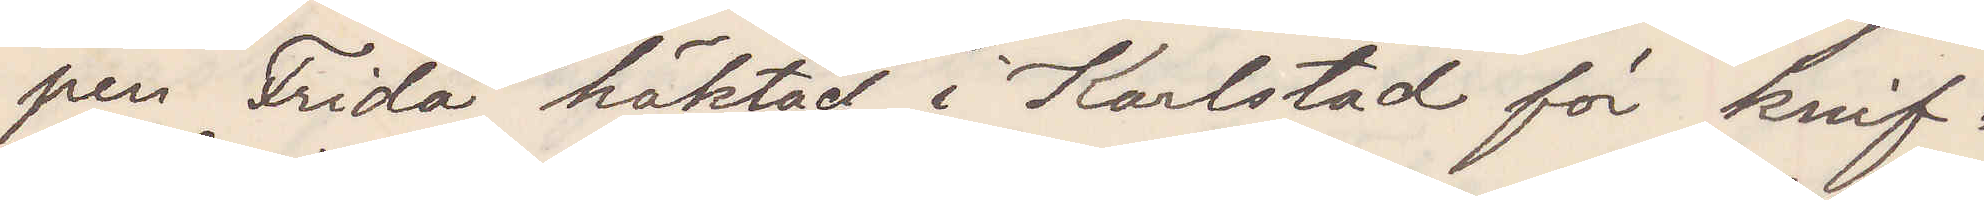pen "Frida" häktad i Karlstad för knif¬
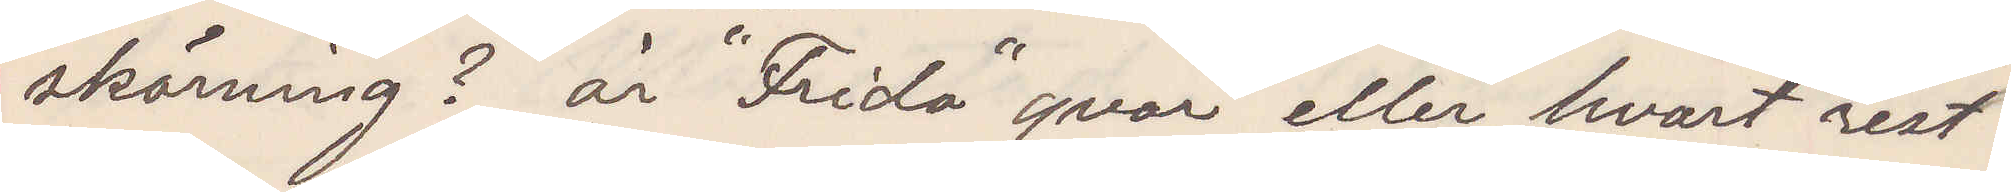skärning? är "Frida" qvar eller hvart rest?
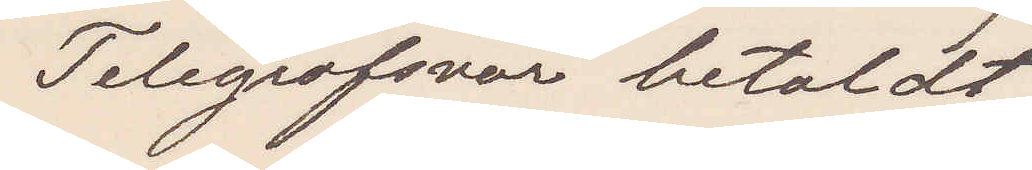Telegrafsvar betaldt
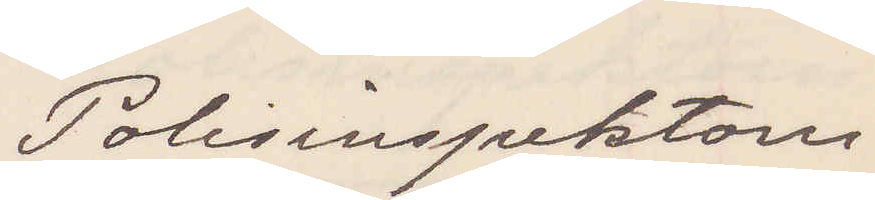Polisinspektorn
